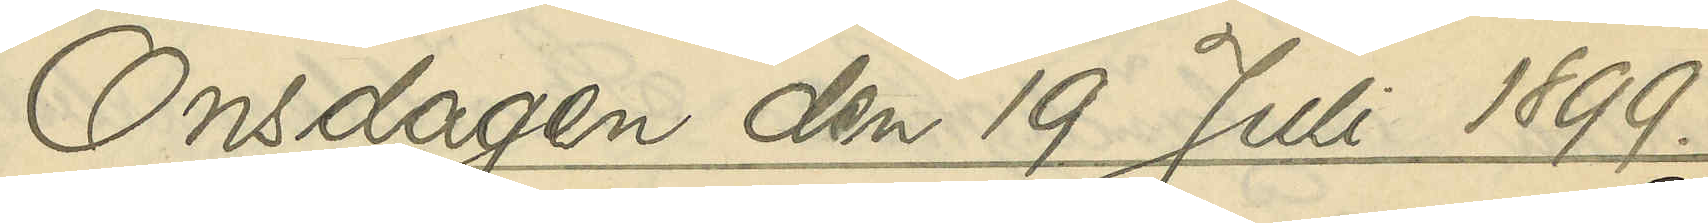Onsdagen den 19 Juli 1899.
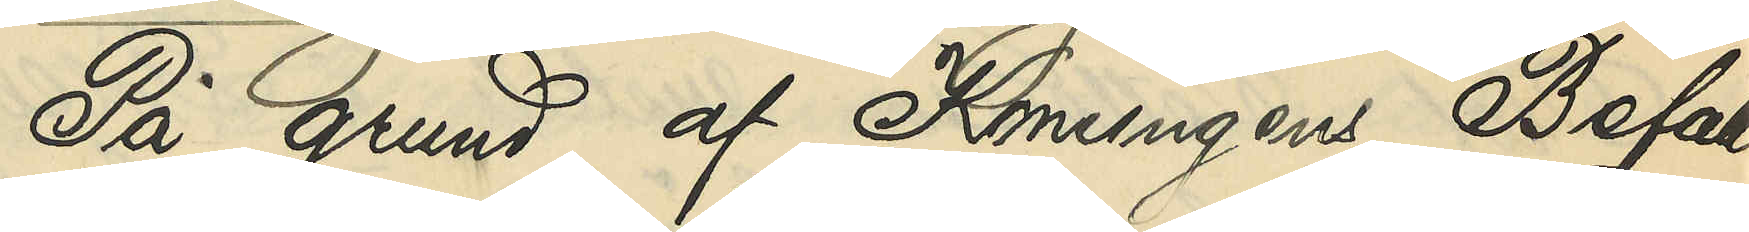På grund af Konungens Befall¬
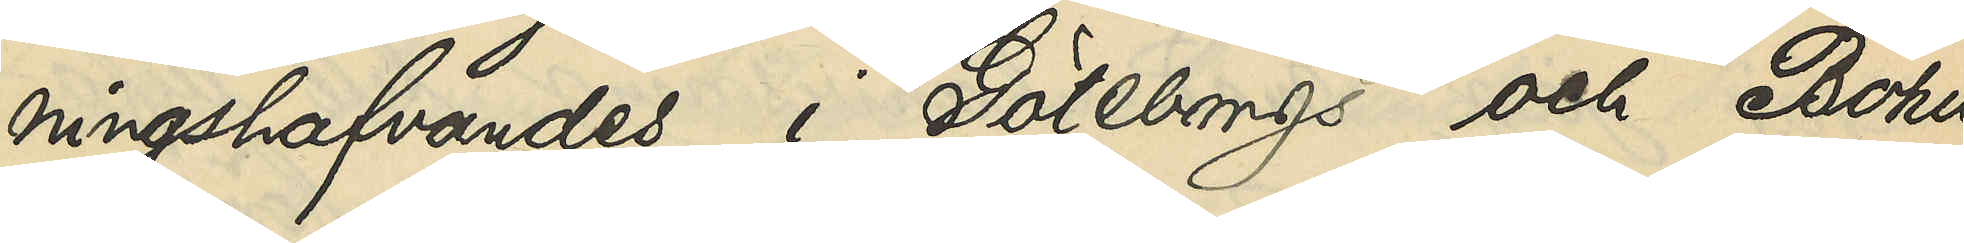ningshafvandes i Göteborgs och Bohus
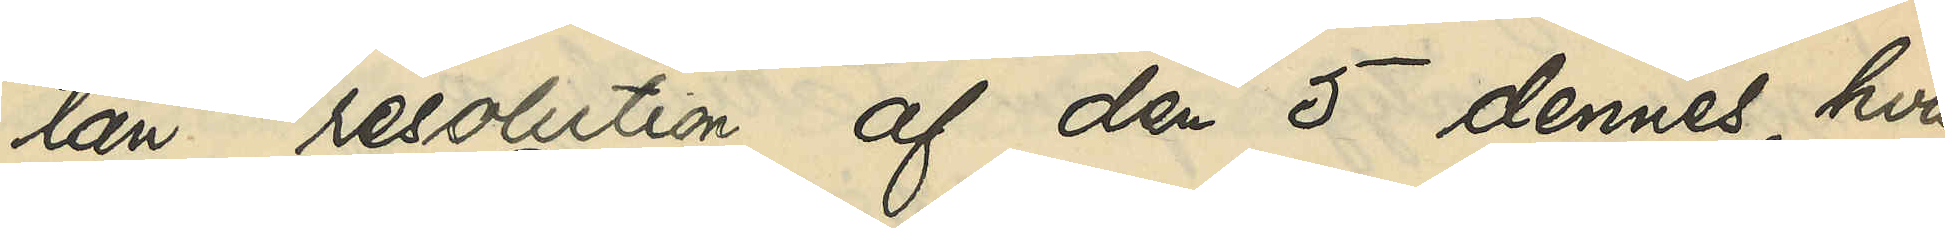län resolution af den 5 dennes, hvari¬
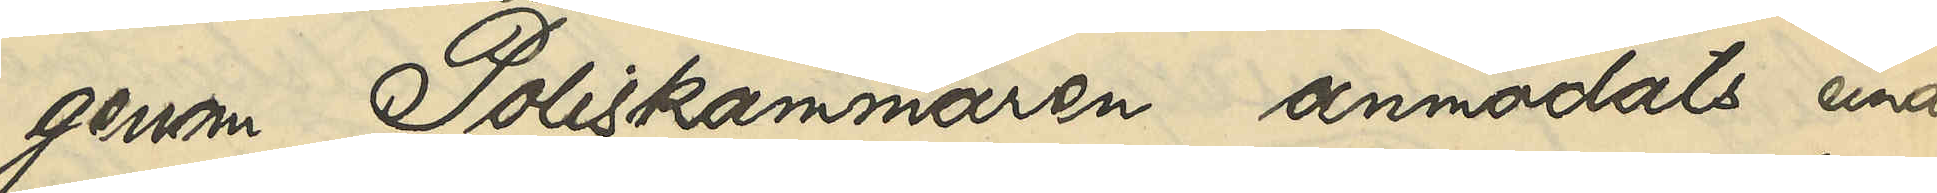genom Poliskammaen anmodats under¬
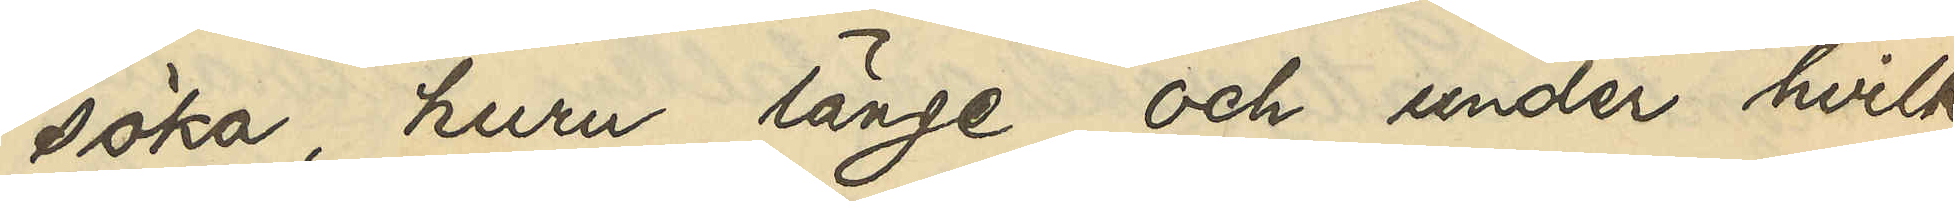söka, huru länge och under hvilka
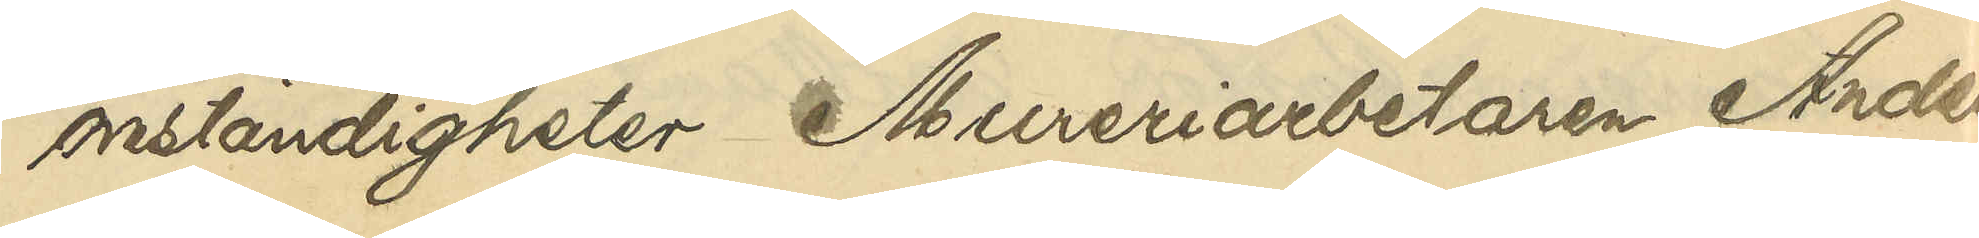omständigheter Mureriarbetaren Ander
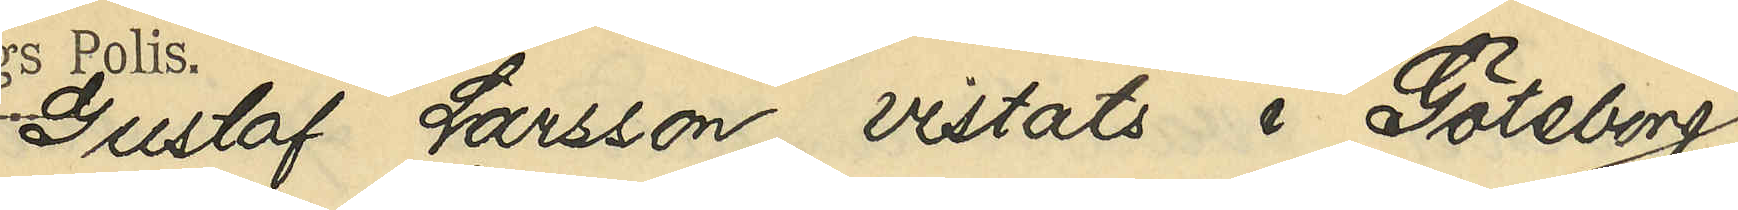Gustaf Larsson, vistats i Göteborg,
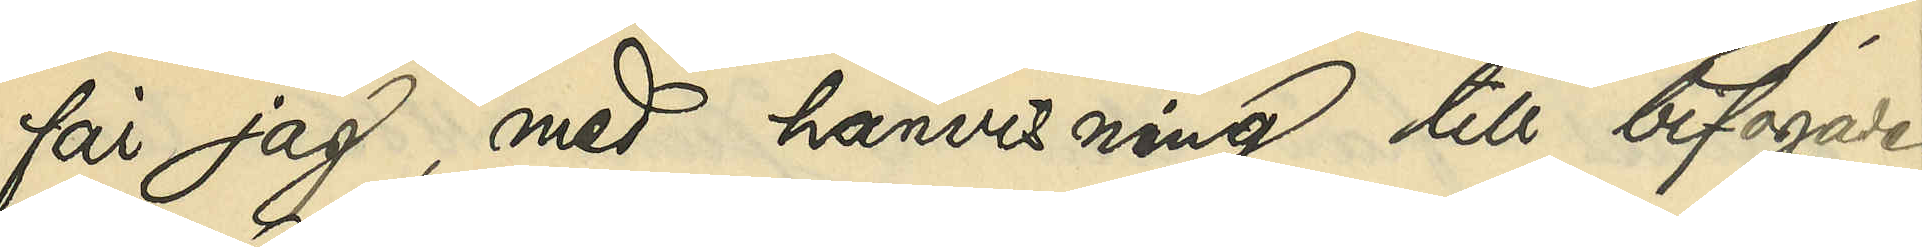får jag, med hänvisning till bifogade
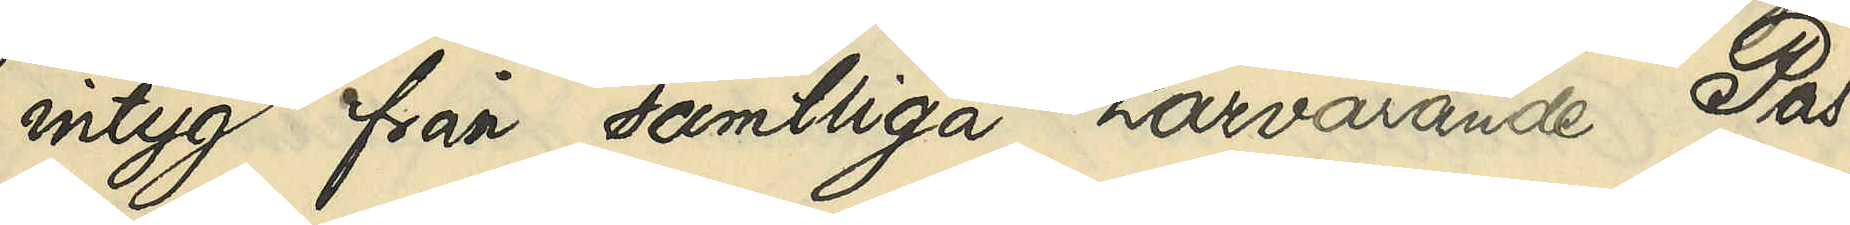intyg från samtliga härvarande Pas¬
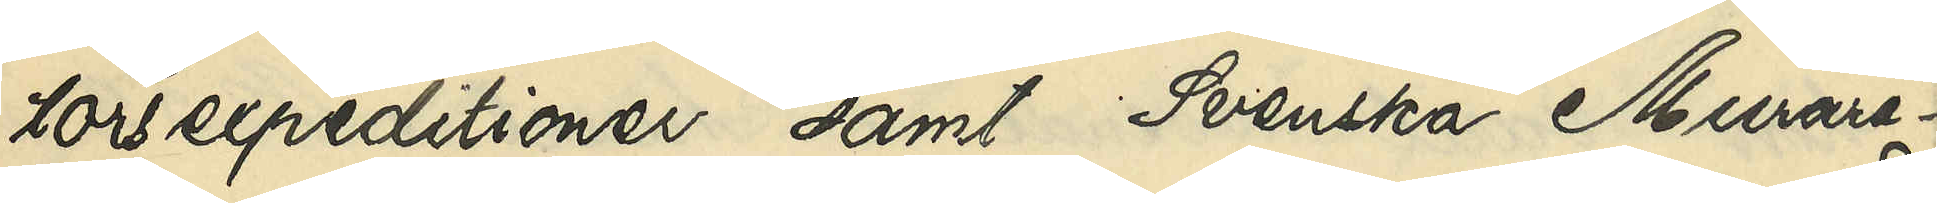torsexpeditioner samt Svenska Murare¬
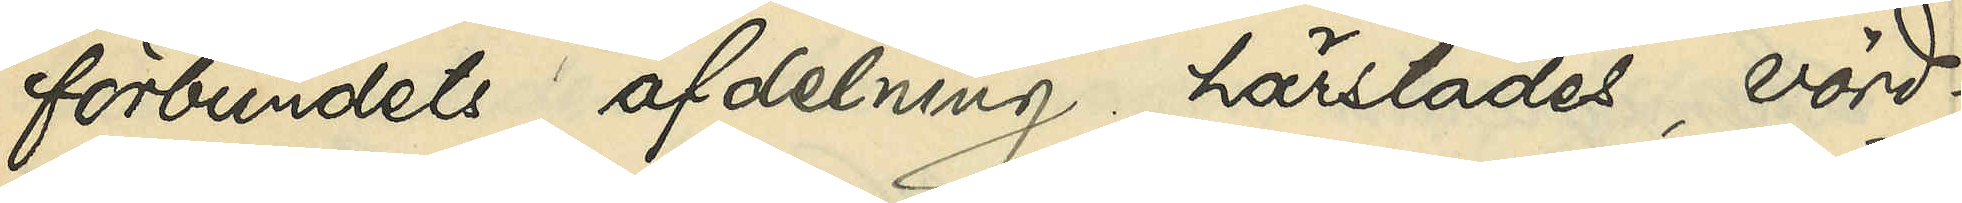förbundets afdelning härstädes, vörd¬
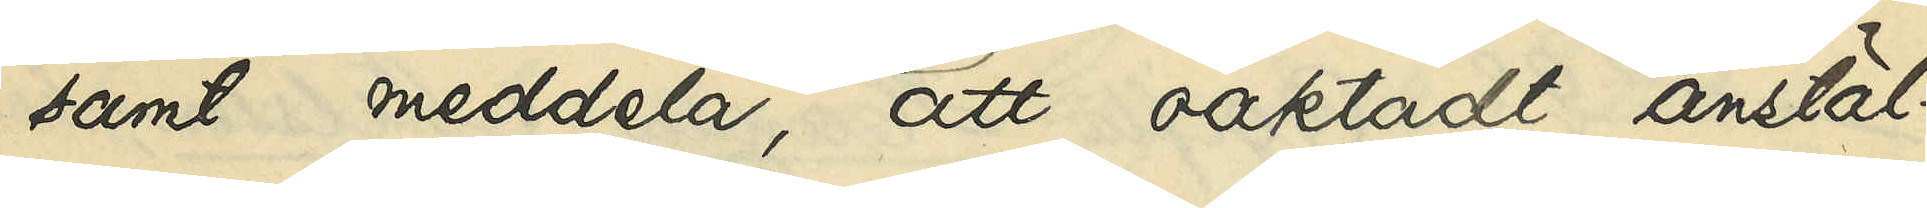samt meddela, att oaktadt anstäl¬
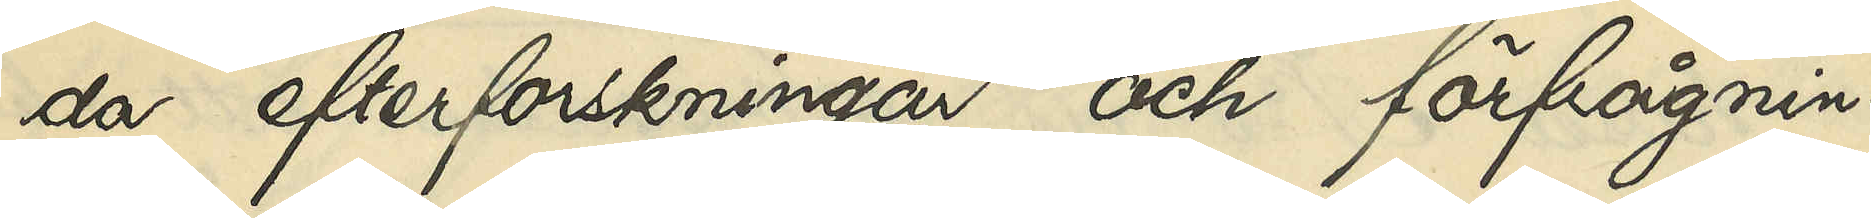da efterforskningar och förfrågnin¬
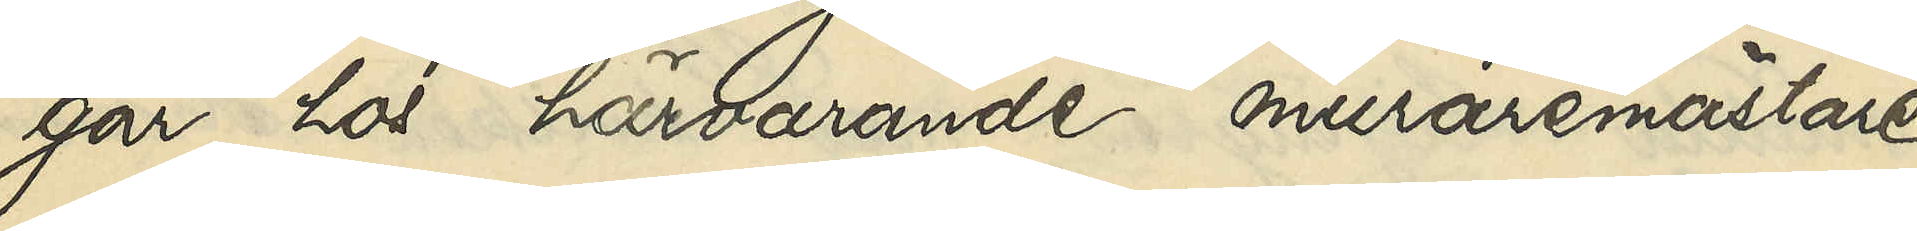gar hos härvarande muraremästare
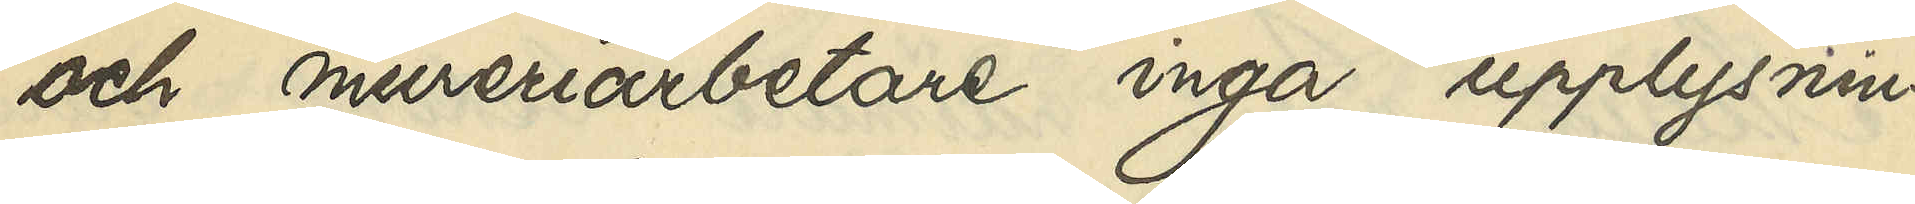och mureriarbetare inga upplysnin¬
